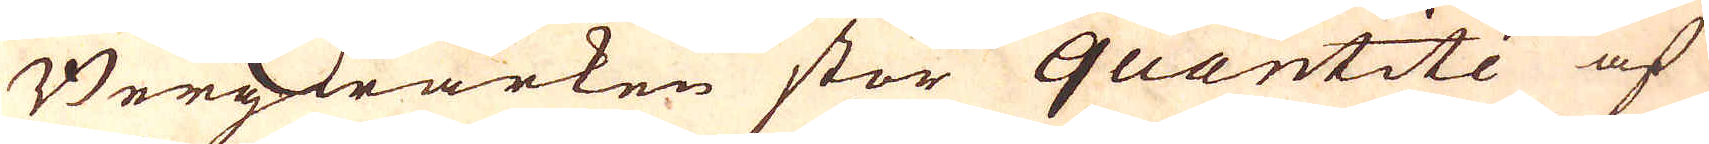Bergwärken stor quantitée af
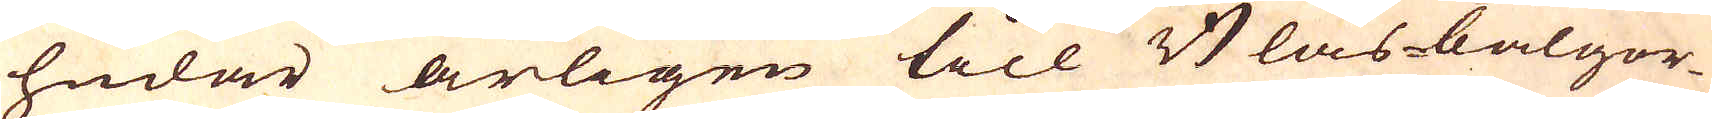hudar årligen till Blås-bälgor-
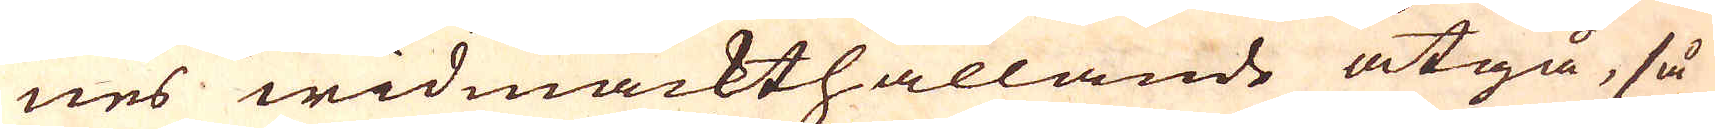nes widmackthållande åtgå, så
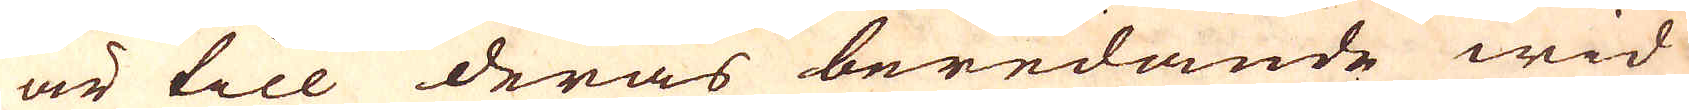är till deras beredande wid
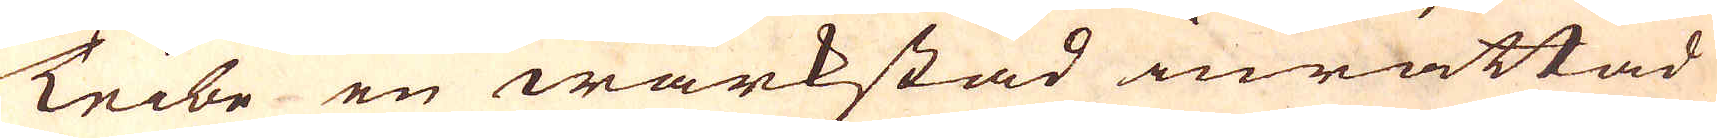Teibe en wärkstad inrättad
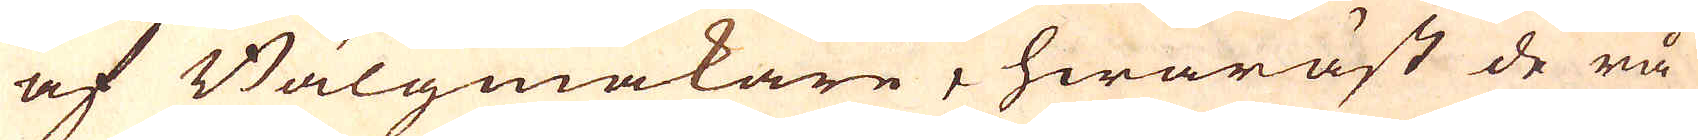af Bälgmakare, hwaräst de rå
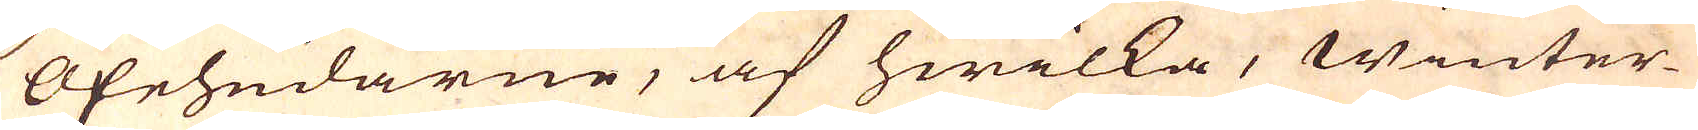oxehudarne, af hwilka, Winter-
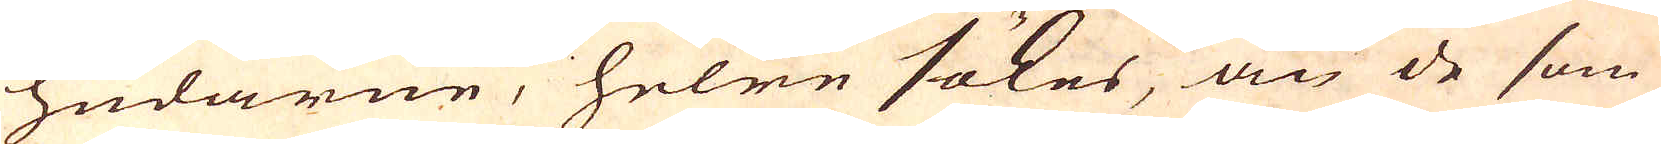hudarne, helre sökes, än de som
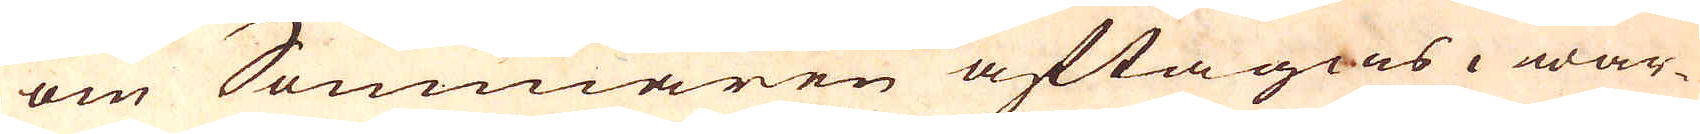om Sommaren aftagas, war-
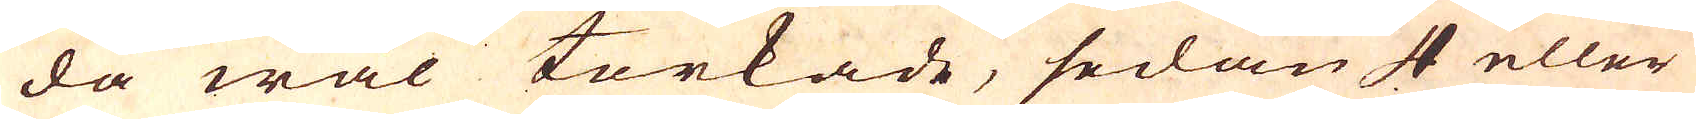da wäl torkade, sedan 4 eller
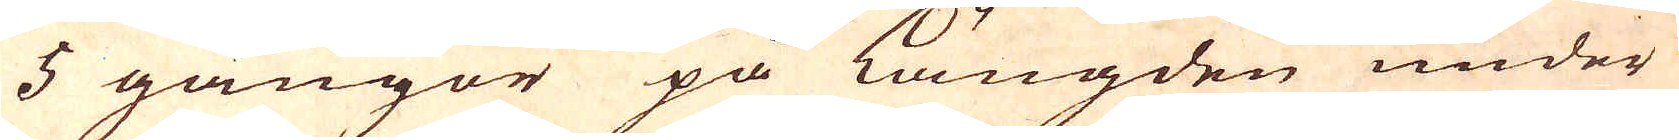5 gångor på längden under
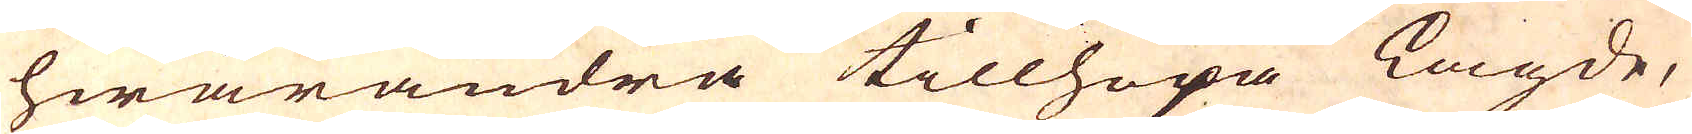hwarandra tillhopa lagde,
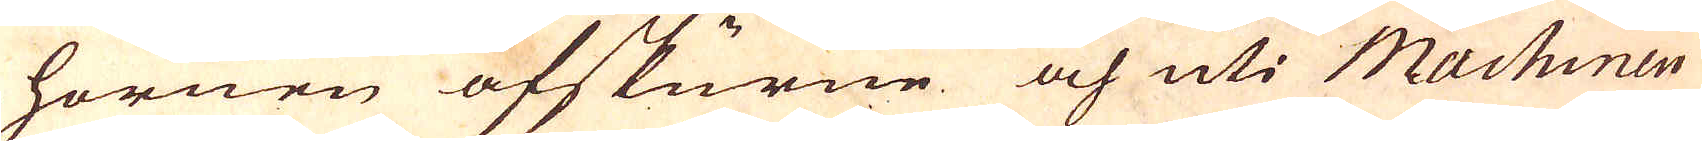hornen afskurne och uti Machinen
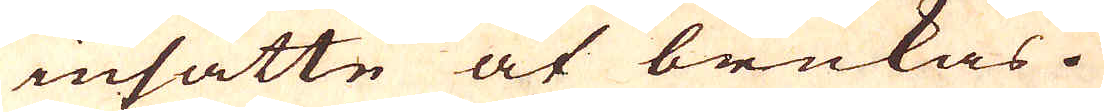insatte at brukas.
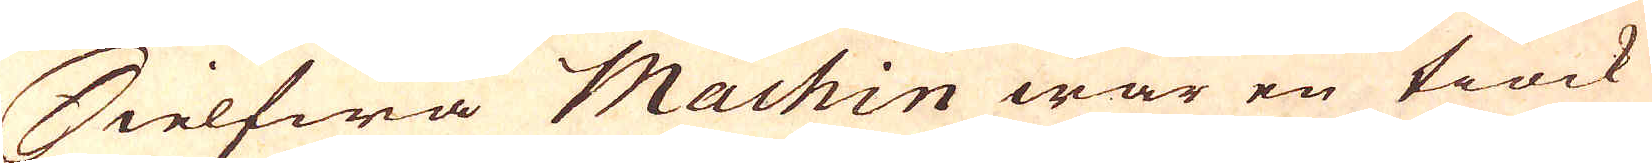Sielfwa Machin war en tiock
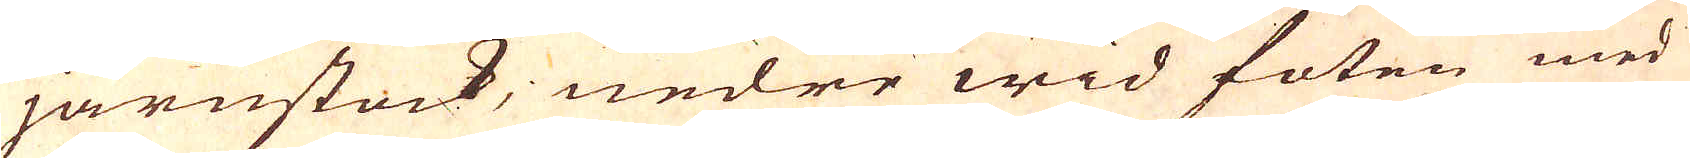järnstock, nedre wid foten med
